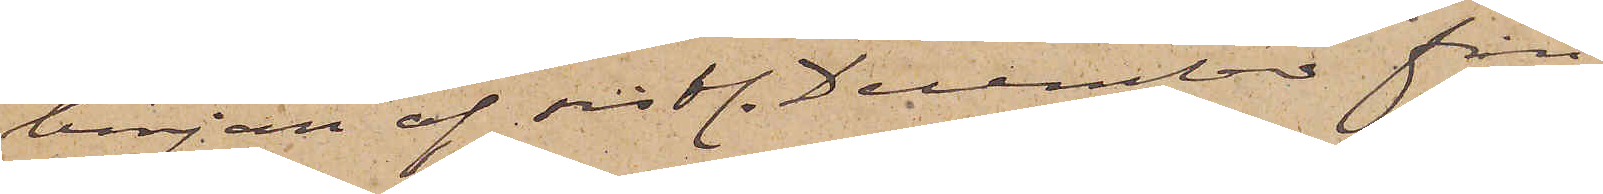början af sistl. December från
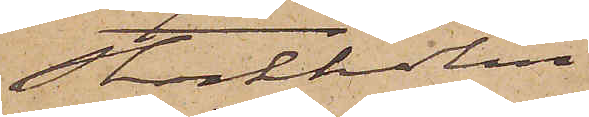Stockholm
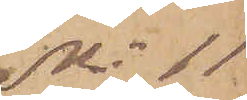No 11
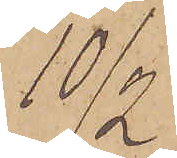10/2
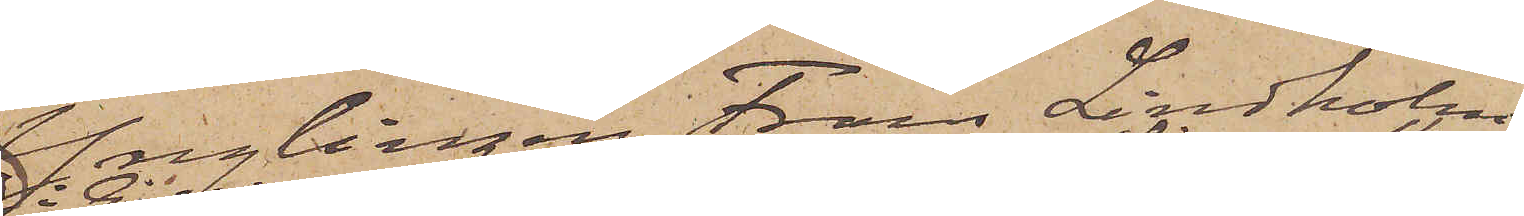Ynglingen Frans Lindholm
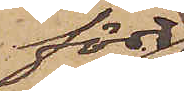född
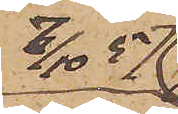7/10  57
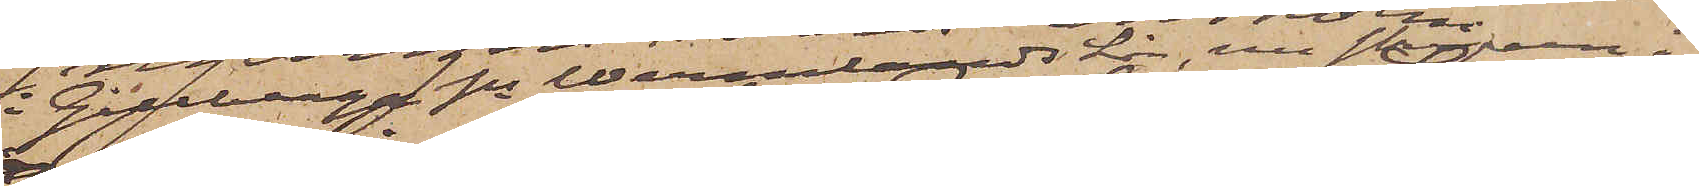i Gillberga sn Wermlands Län, nu skrifven i
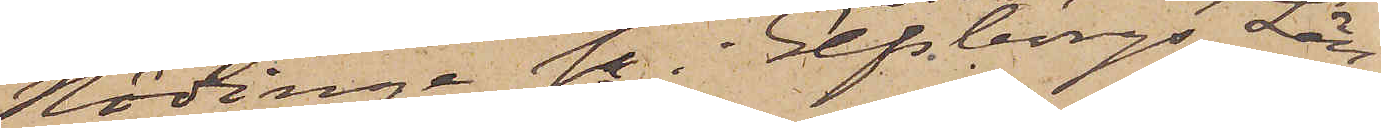Nödinge sn Elfsborgs Län
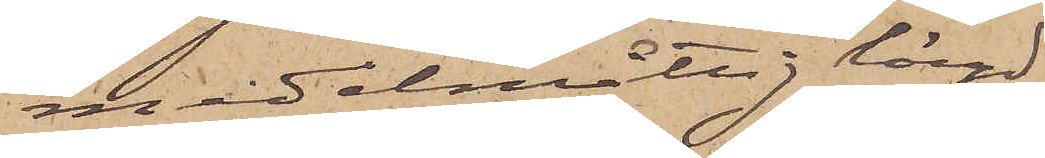, medelmåttig längd
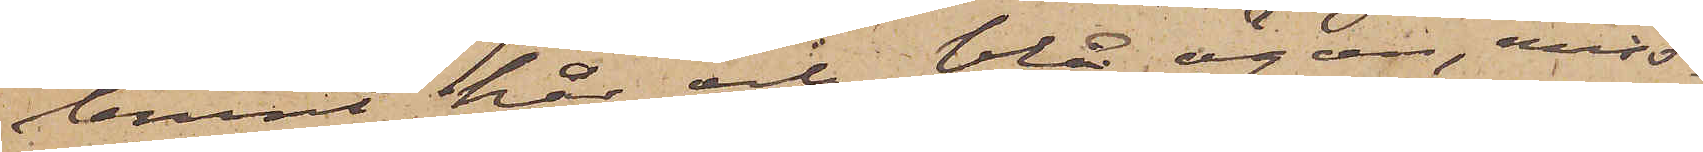brunt hår och blå ögon, miss¬
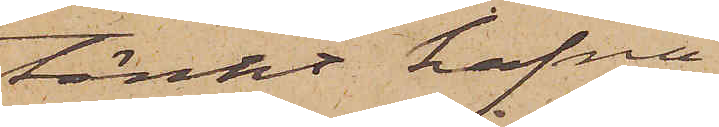tänkt hafva
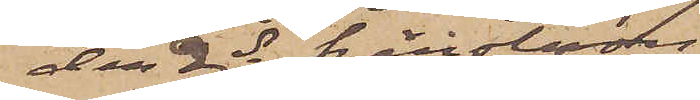den 2 ds härstädes
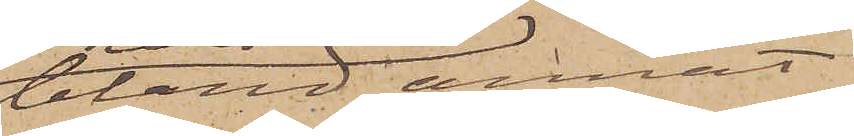bland annat
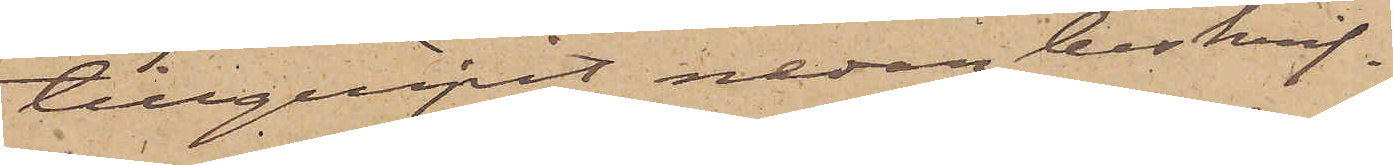tillgripit nedan beskrif¬
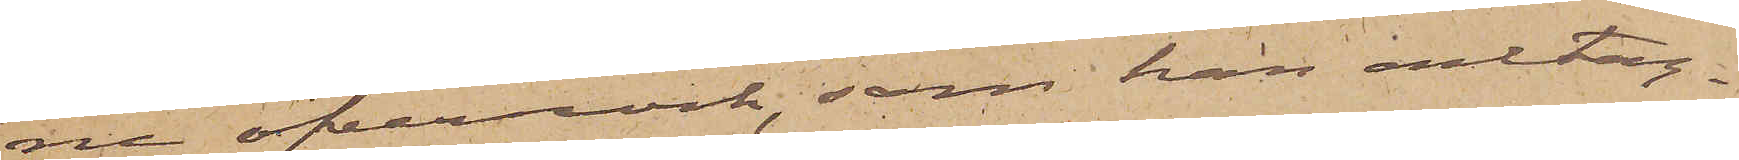ne öfverrock, som han antag¬
